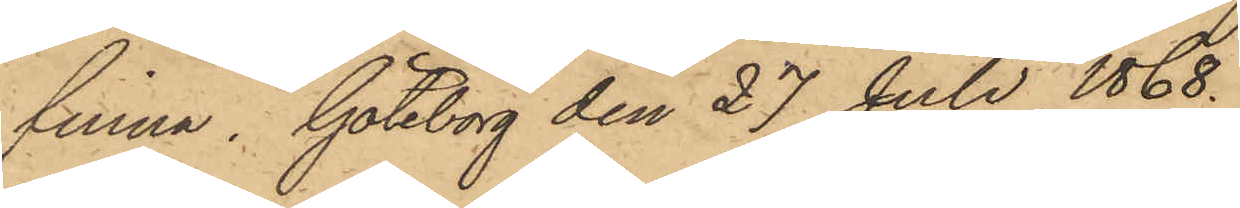finna. Göteborg den 27 Juli 1868.
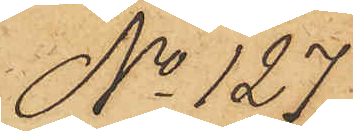No 127.
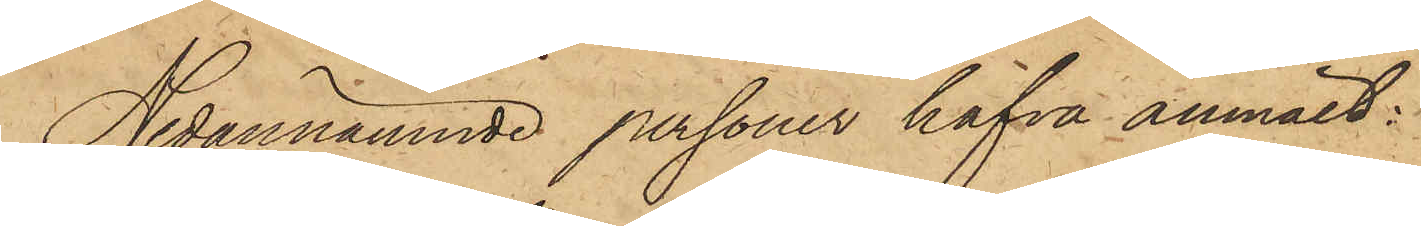Nedannämnde personer hafva anmält:
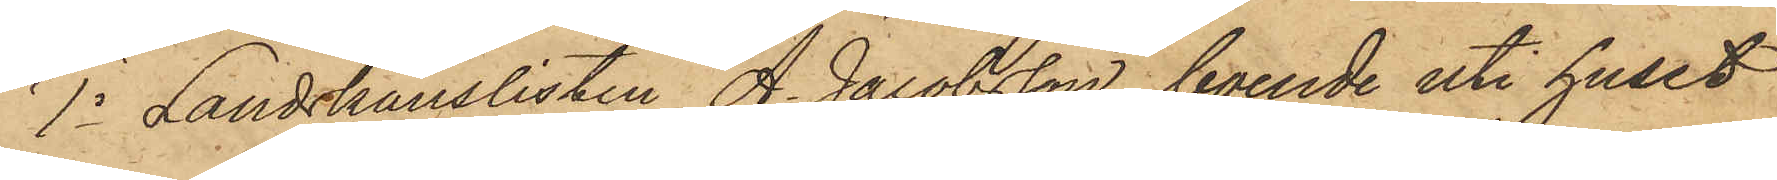1o Landskanslisten A. Jacobsson, boende uti huset
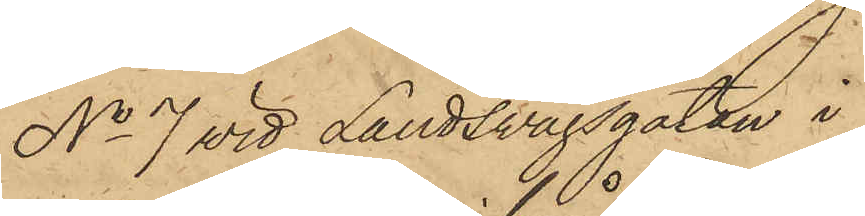No 7 vid Landsvägsgatan i
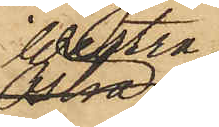Westra
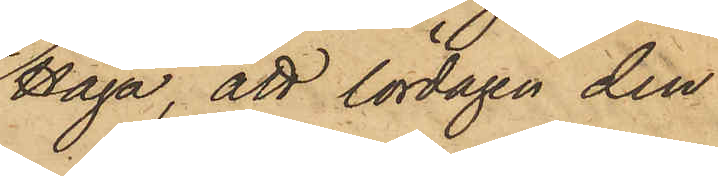Haga, att lördagen den
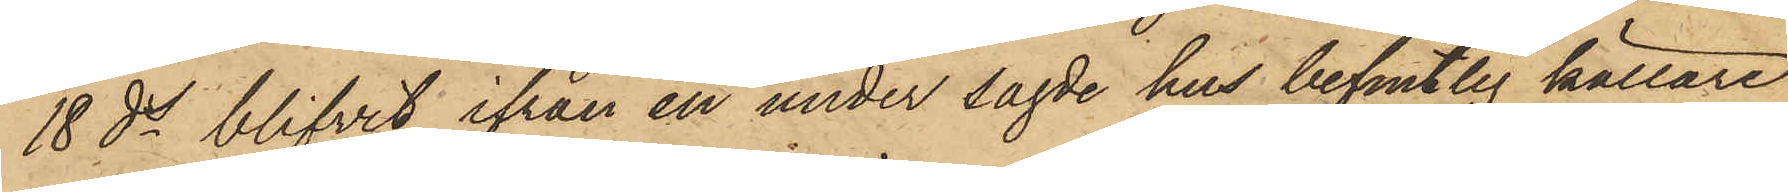18 ds blifvit ifrån en under sagde hus befintlig källare
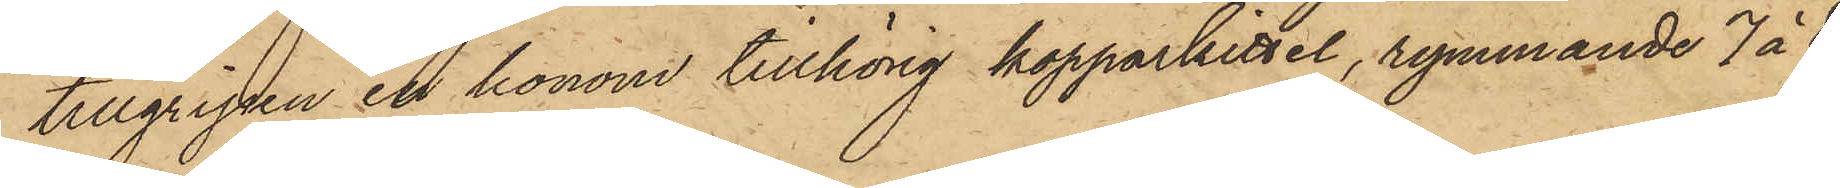tillgripen en honom tillhörig kopparkittel, rymmande 7 á 8
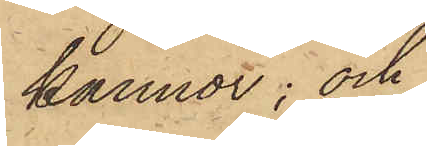kannor; och
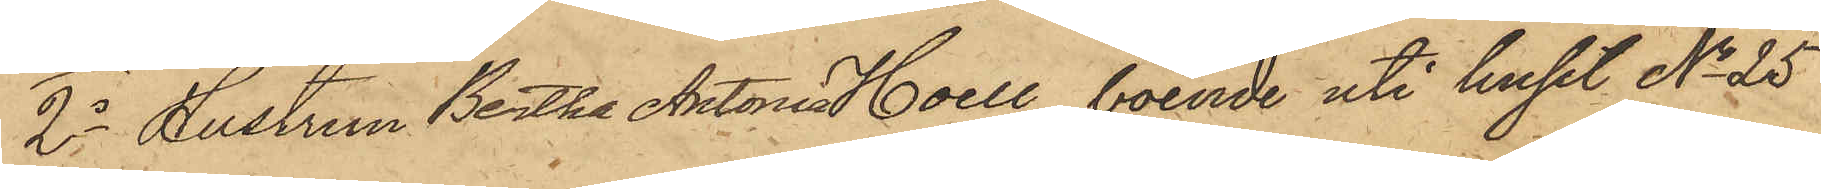2o Hustrun Bertha Antonia Hoell, boende uti huset No 25
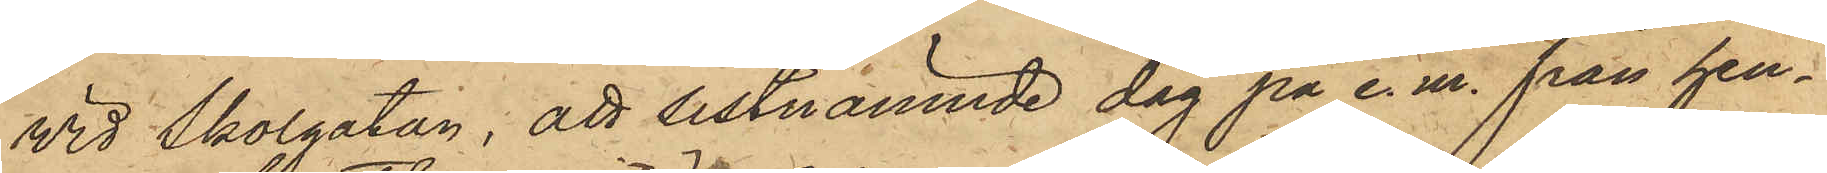vid Skolgatan; att sistnämnde dag på e. m. från hen¬
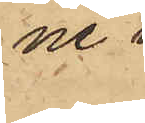ne
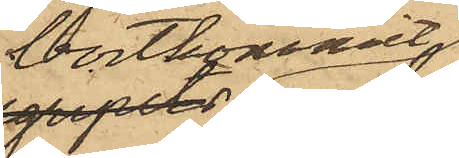bortkommit
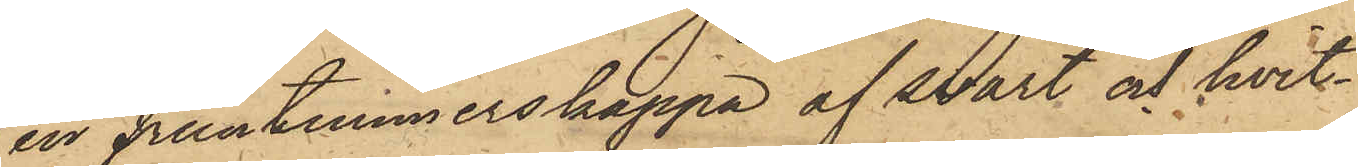en fruntimmerskappa af svart och hvit¬
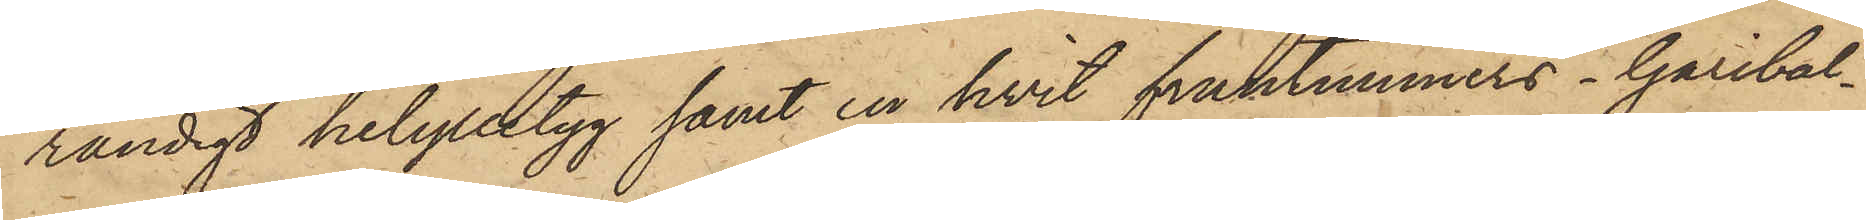randigt helylletyg samt en hvit fruntimmers - Garibal¬
